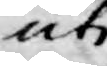uti
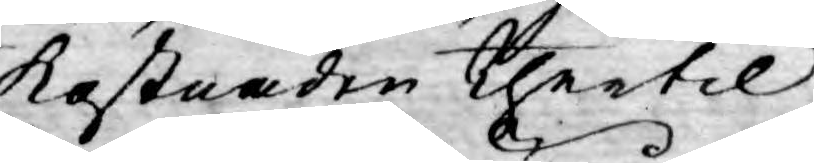kostnaden thertil
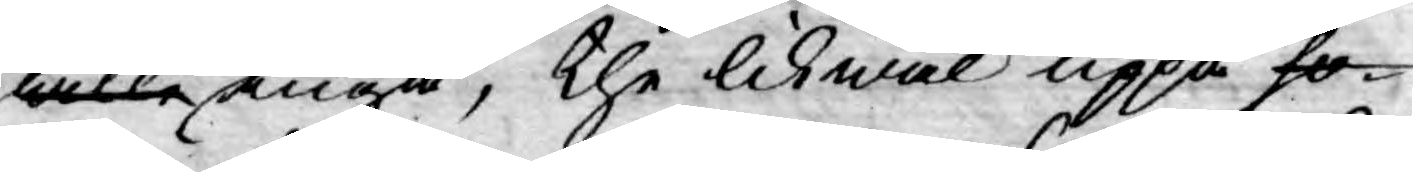wille ingå, the likwäl uppå ho¬
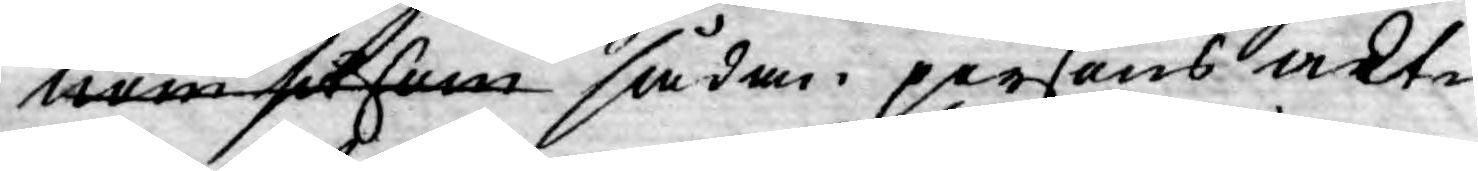nom såsom sådan persons akt¬
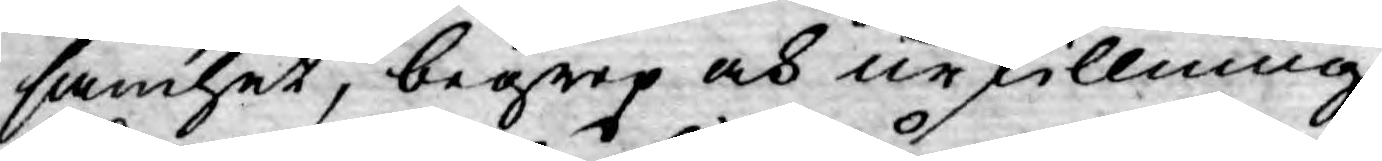samhet, begrep och urskillning
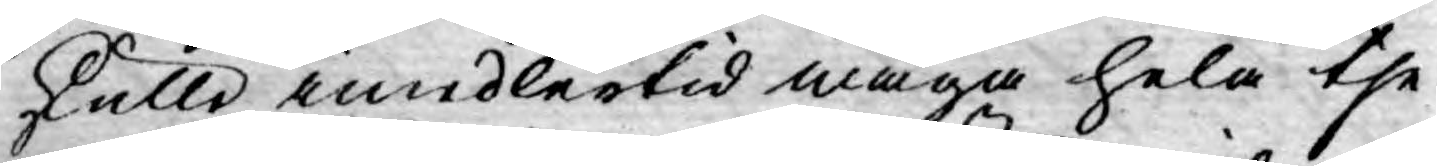skulle imidlertid wåga hela the¬
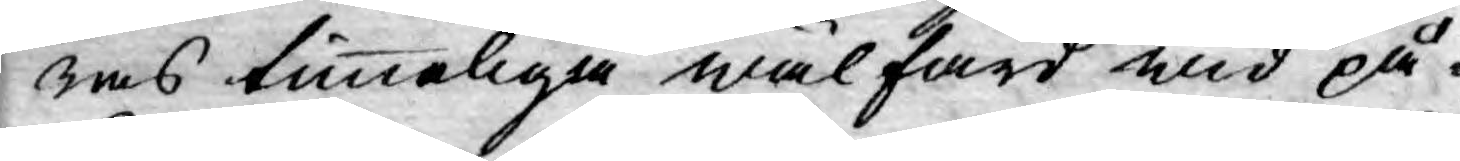ras timmeliga wälfärd wid på¬
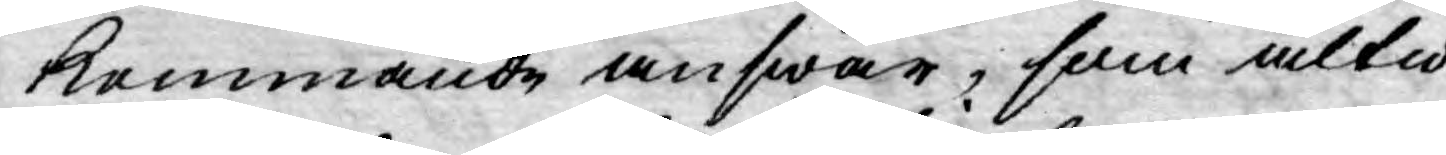kommande answar, som altid
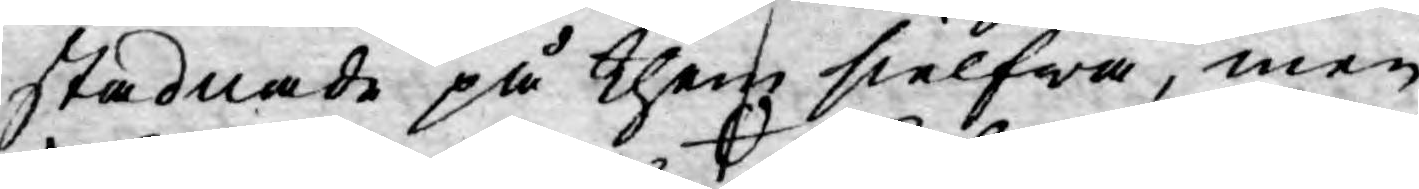stadnade på them sielfwa, men
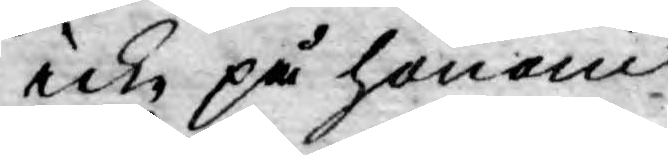icke på honom;
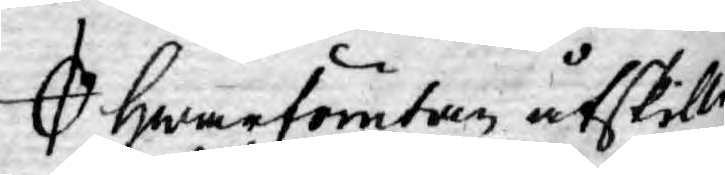hwarförutan åtskilli¬
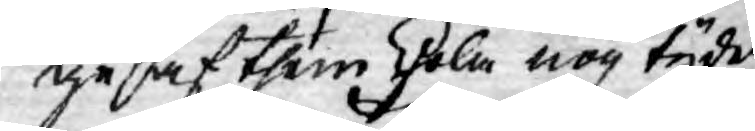ge af them Skola nog tydeli¬
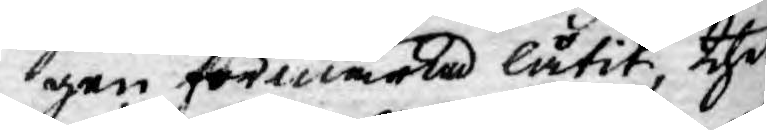gen förmärka låtit, thet
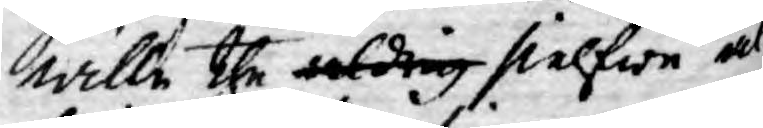wille the aldrig sielfwe al¬
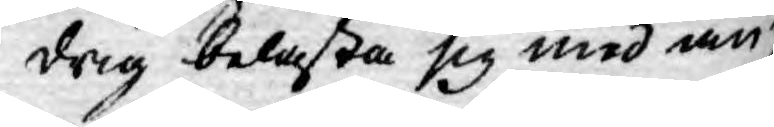drig belasta sig med an¬
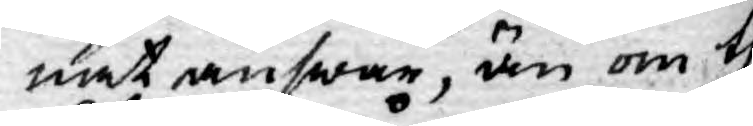nat answar, än om the
